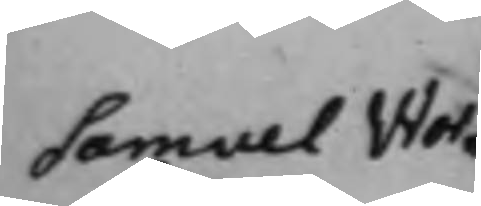Samuel Wor¬
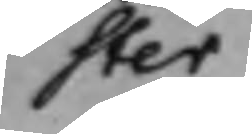ster
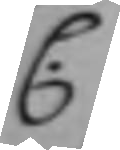C.
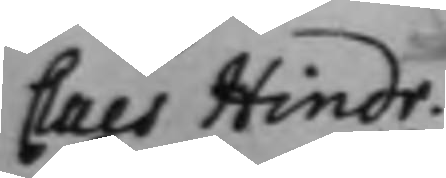Claes Hindr.
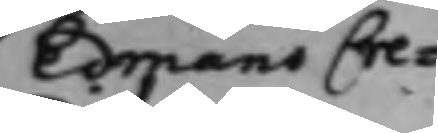Edmans Cre¬
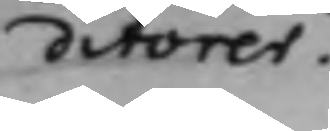ditorer.
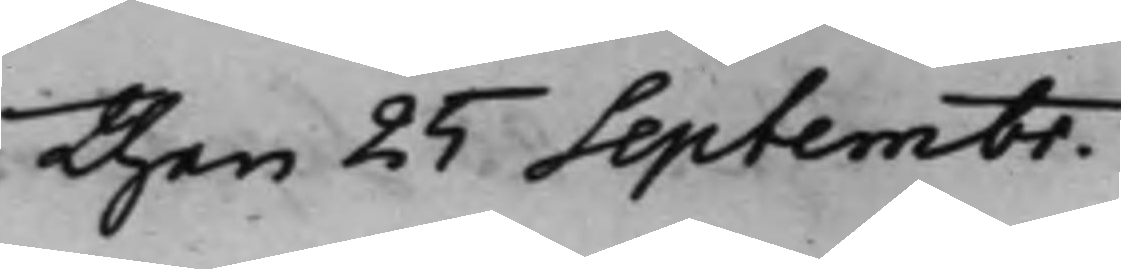den 25 Septembr.
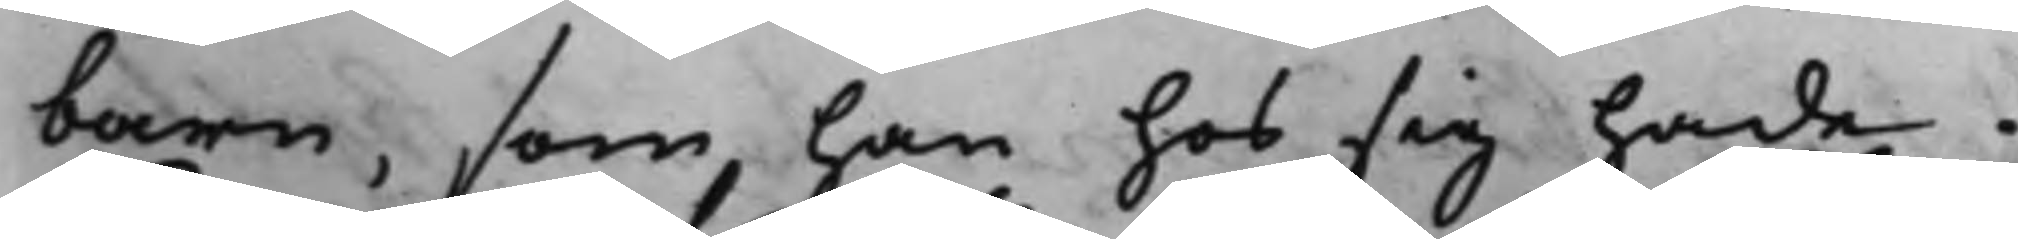barn, som han hos sig hade.
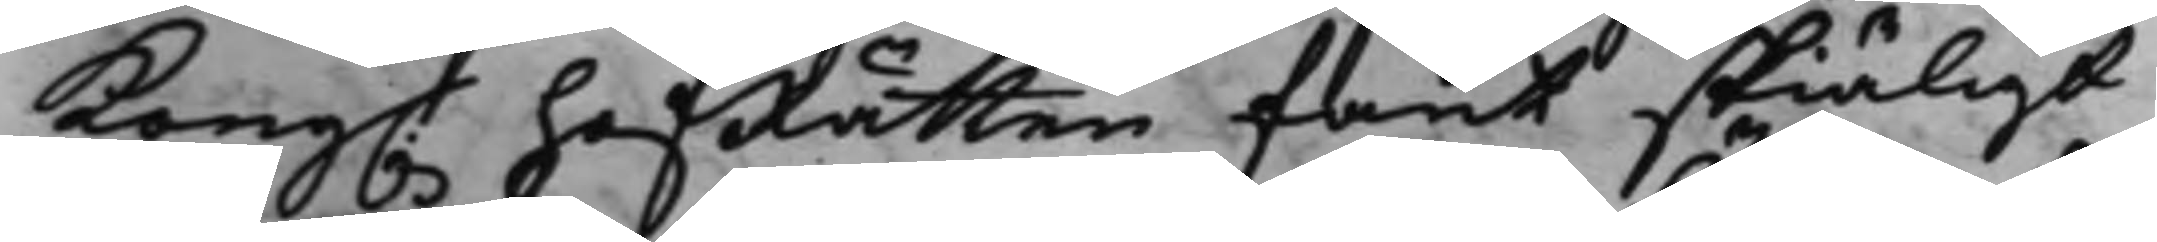Kong. HofRätten fant skiäligt
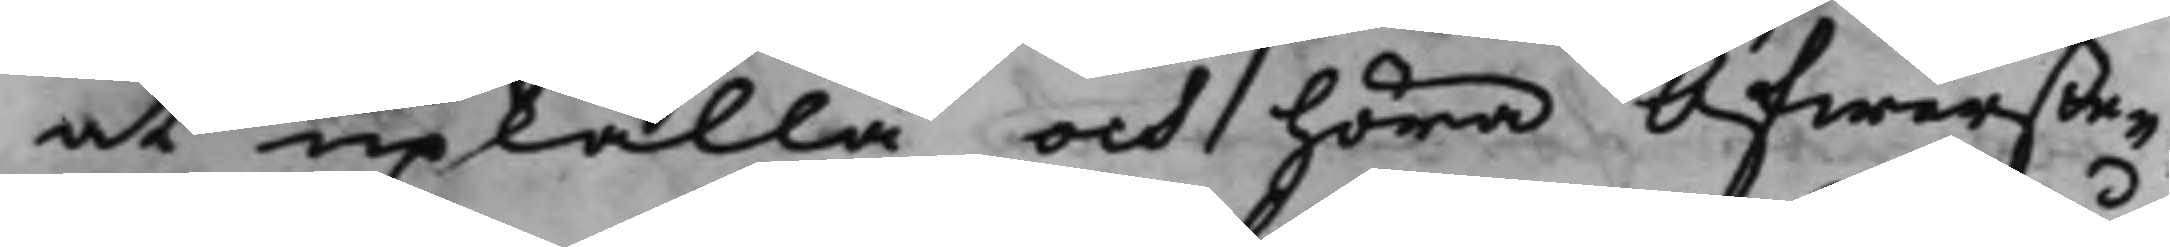at upkalla och höra Öfwerste¬
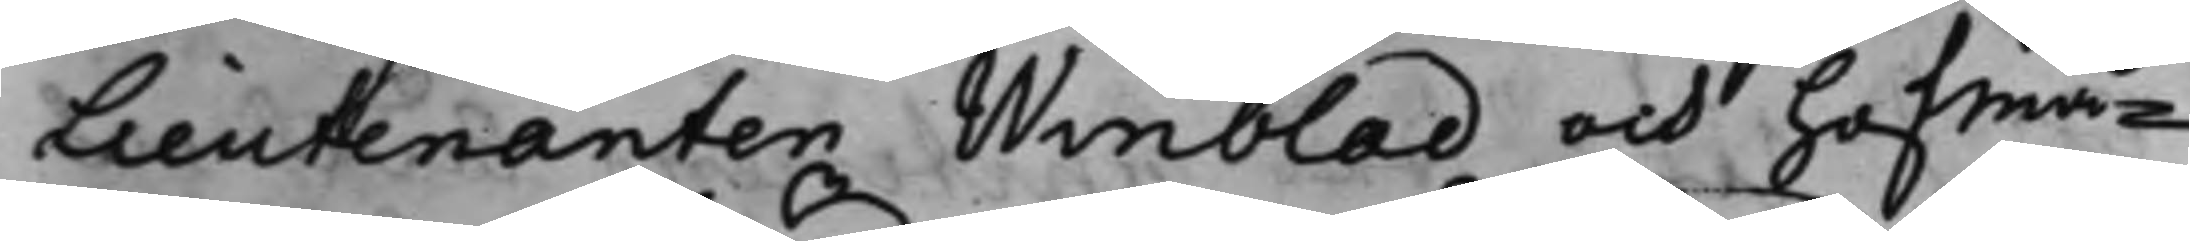Lieutenanten Winblad och Hofmå¬
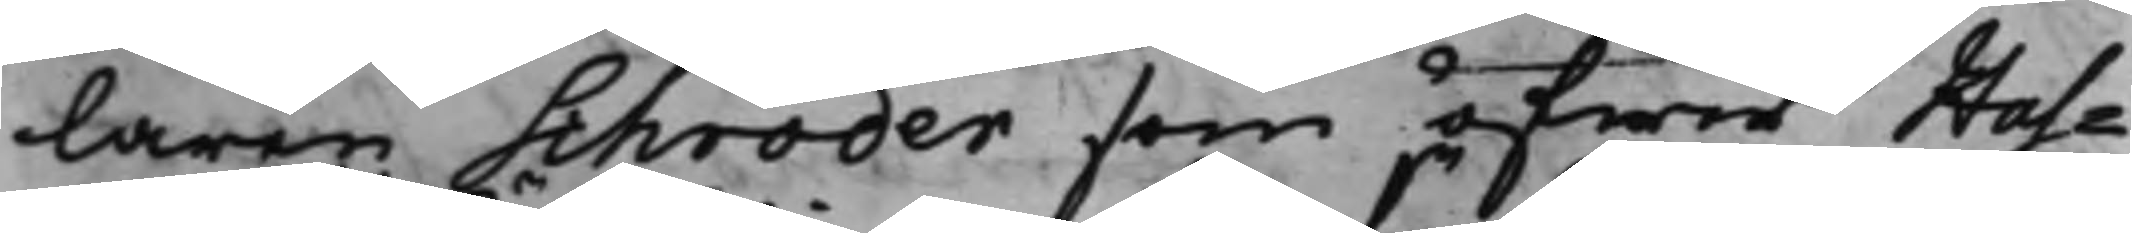laren Schröder som öfwer Has¬
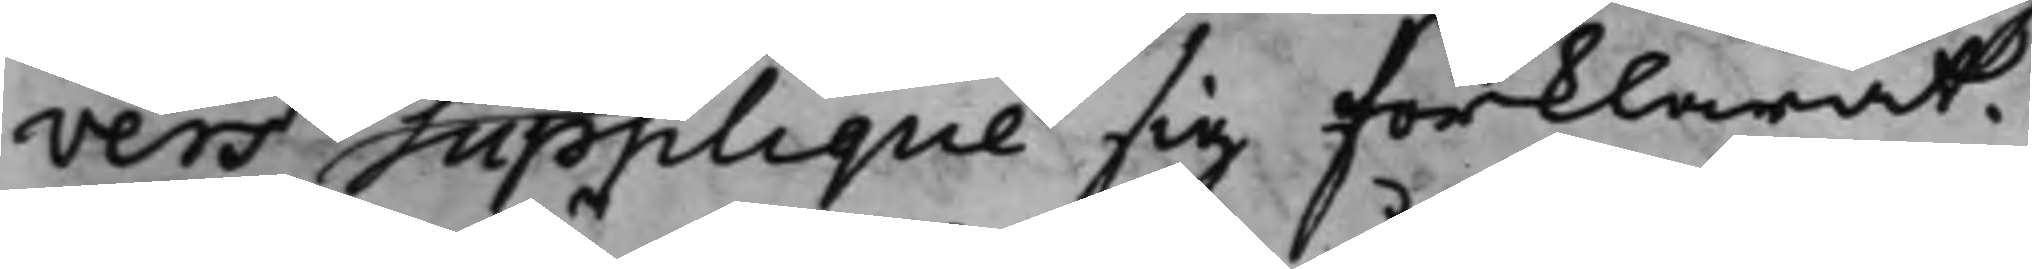vers Supplique sig förklarat.
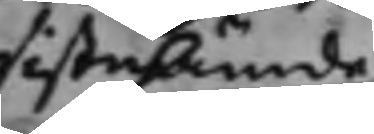sistnämde
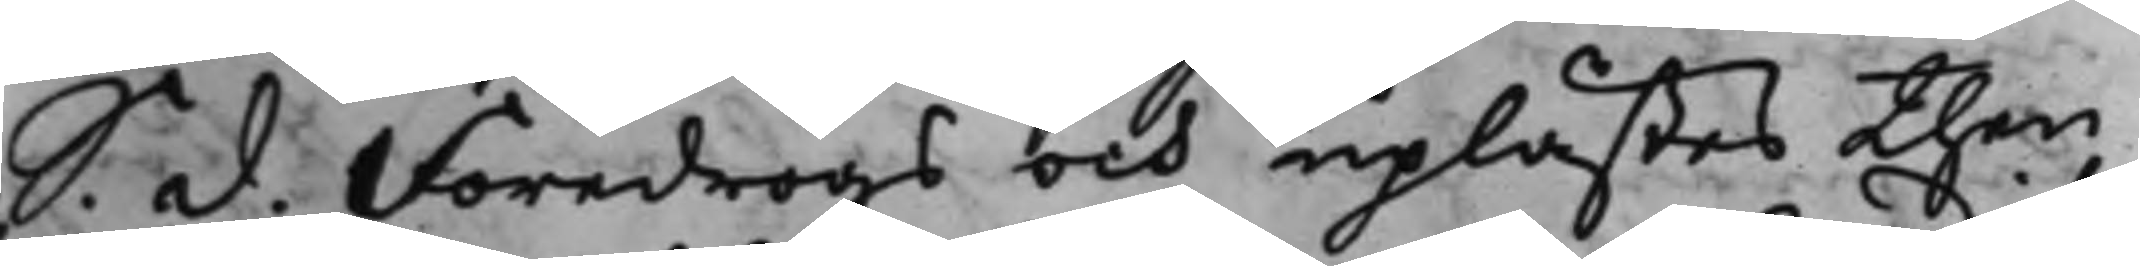S. d. Föredrogs och uplästes then
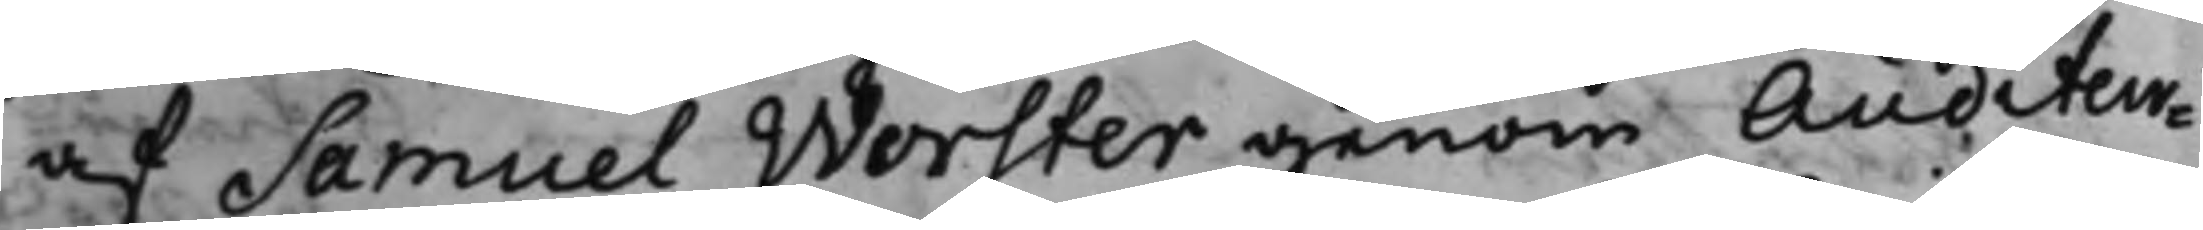af Samuel Worster genom Auditeur¬
